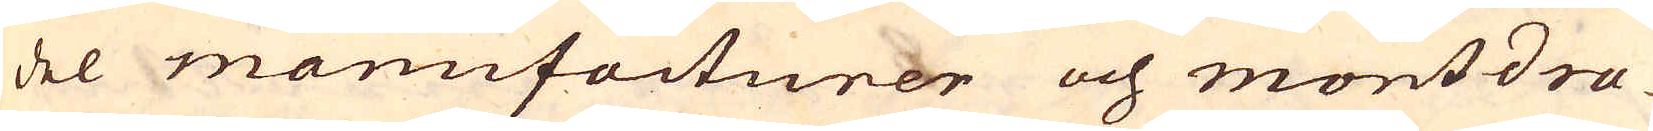del manufacturer och montdra-
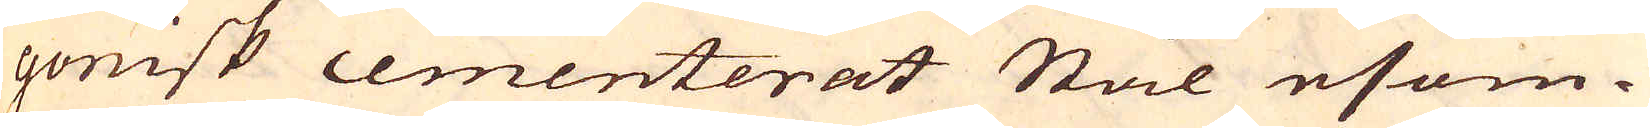gonisk cementerat Stål esom-
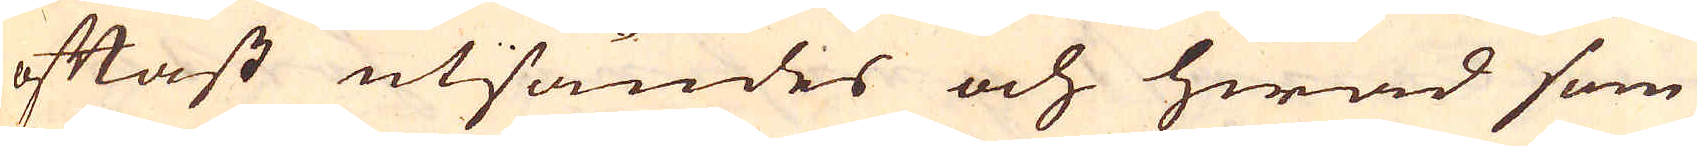oftast utsändes och hwad som
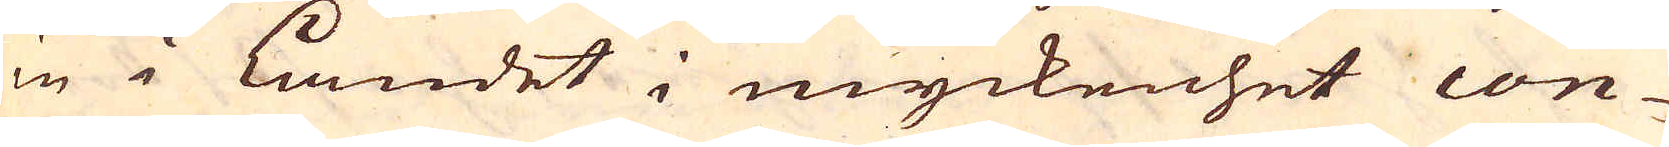in i Landet i myckenhet con-
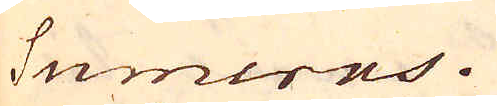sumeras.
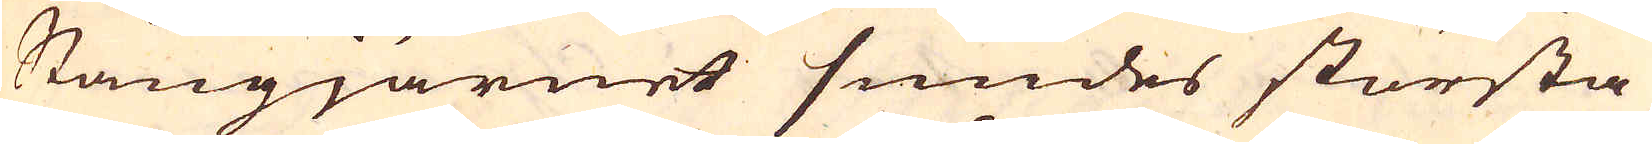Stångjärnet smides största
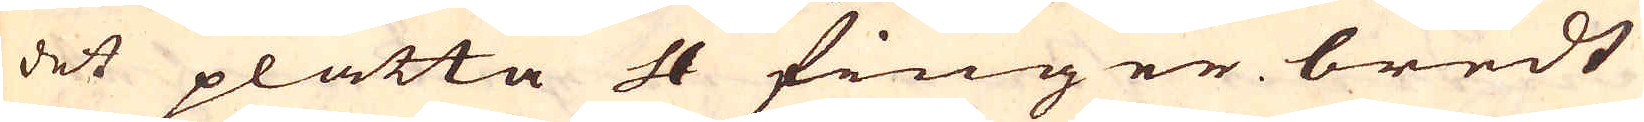det platta 4 finger bredt
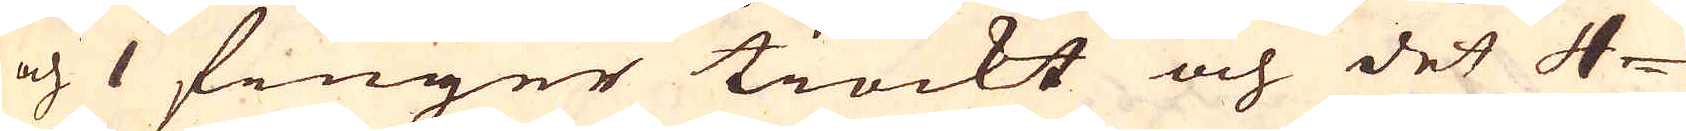och 1 finger tiockt och det 4-
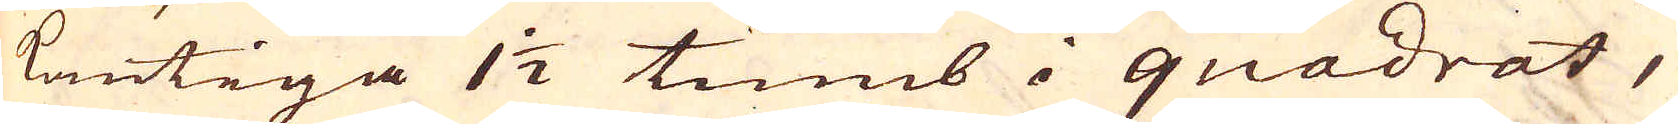kantiga 1 1/2 tumb i quadrat,
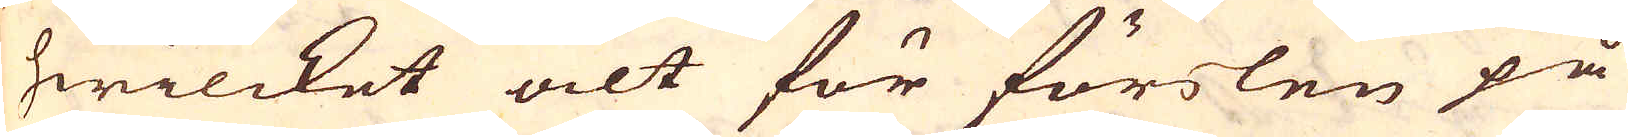hwilcket alt för förslen på
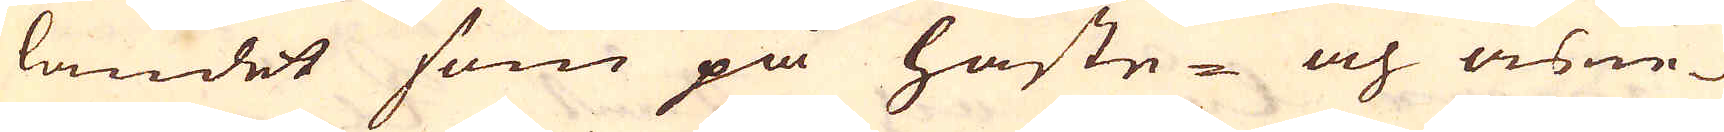landet som på häste- och åsne-
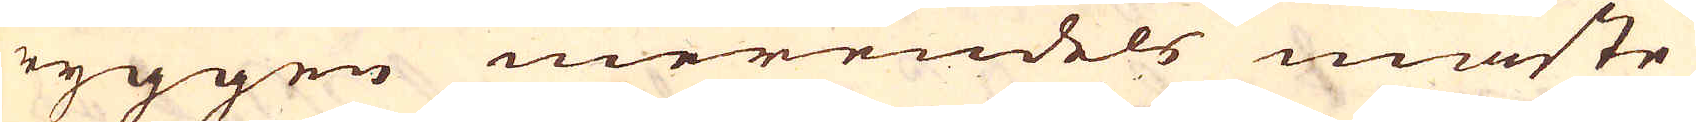ryggen merendels måste
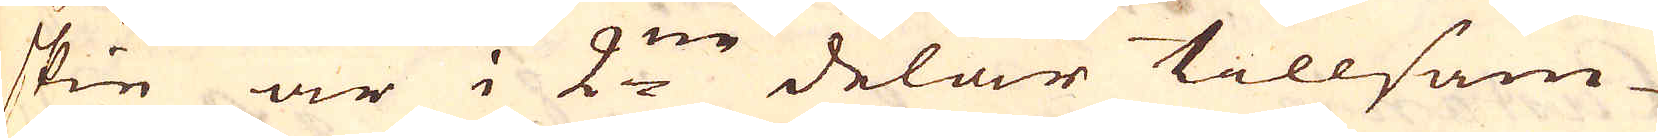skie är i 2:ne delar tillsam-
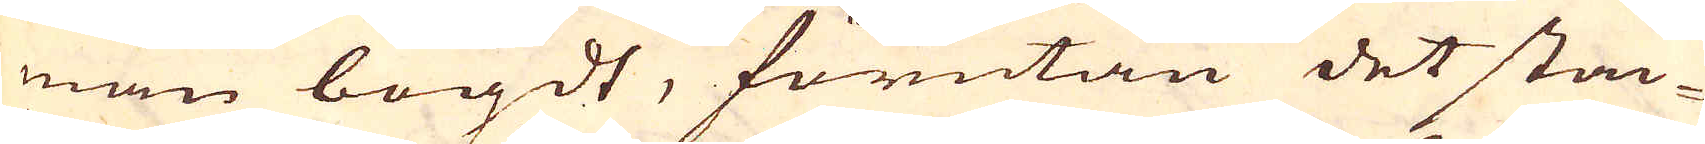man bögdt, förutan det stac-
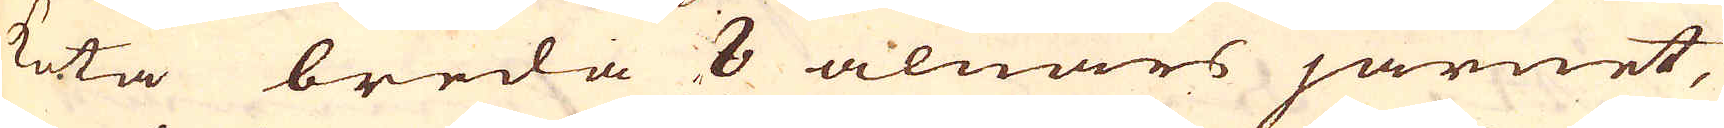keta breda 8 alnars järnet,
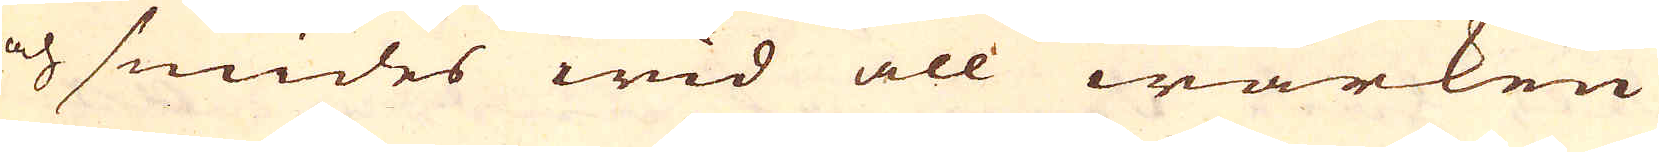och smides wid all wärken
